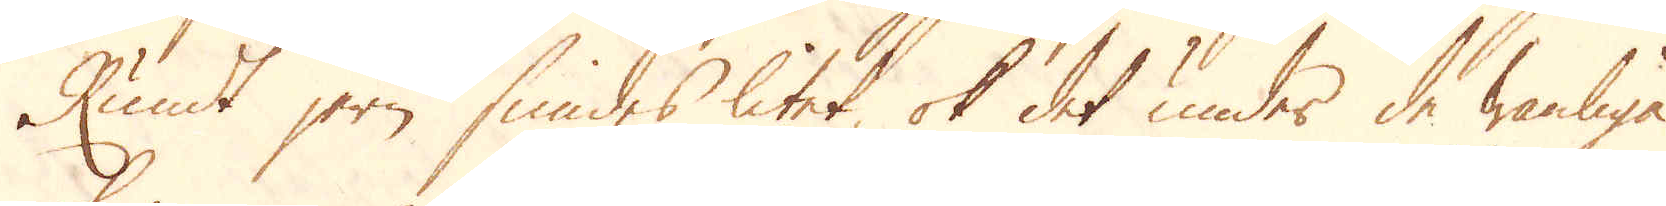Rundt jern smides litet, ok det under de wanliga
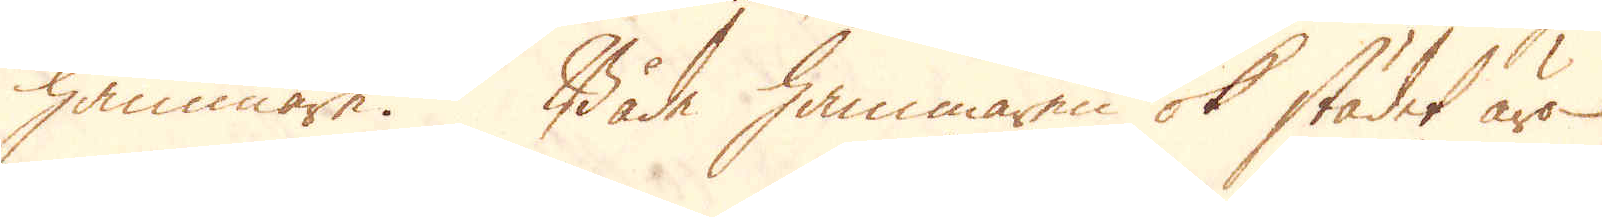hammare. Både hammaren ok städet äro
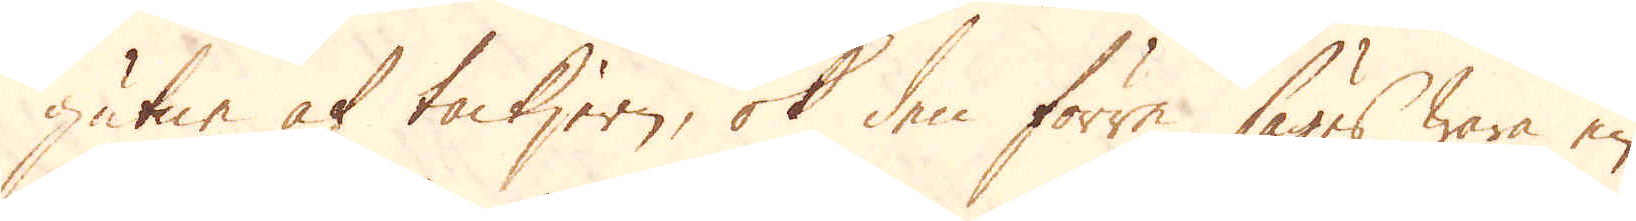gutne af tackjern, ok den förre säges wara en
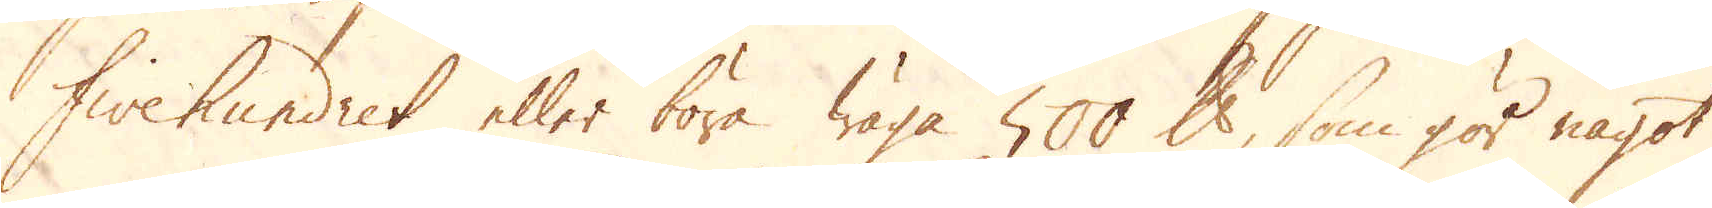Fivehundret eller böra wäga 500 skålpund, som gör något
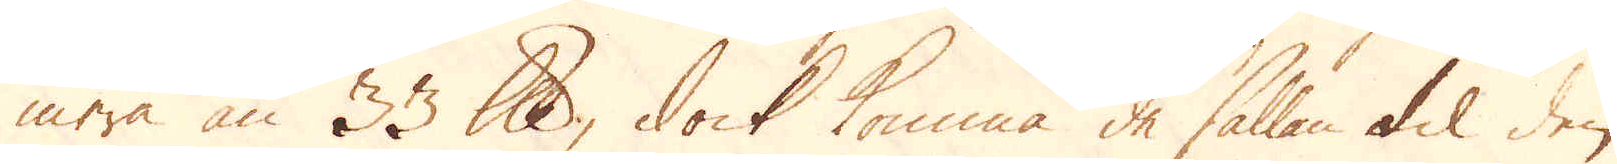mera än 33 lispund, dock komma de sällan til den
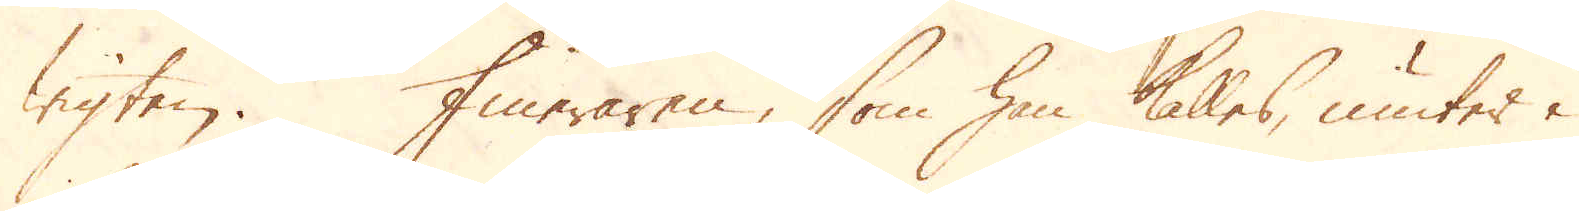wigten. Fineraren, som han kallas, niuter i
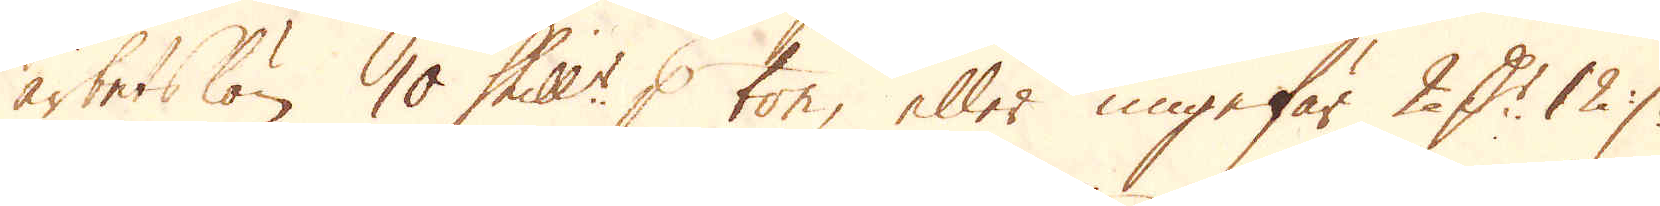arbetslön 10 Skill:r p ton, eller ungefär 2 D:r 12 :/:
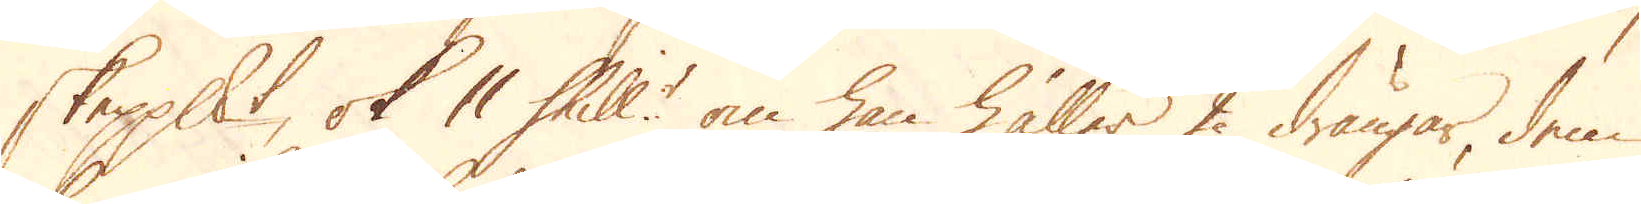skeppundet, ok 11 Skill:r om han håller 2 drängar, dem
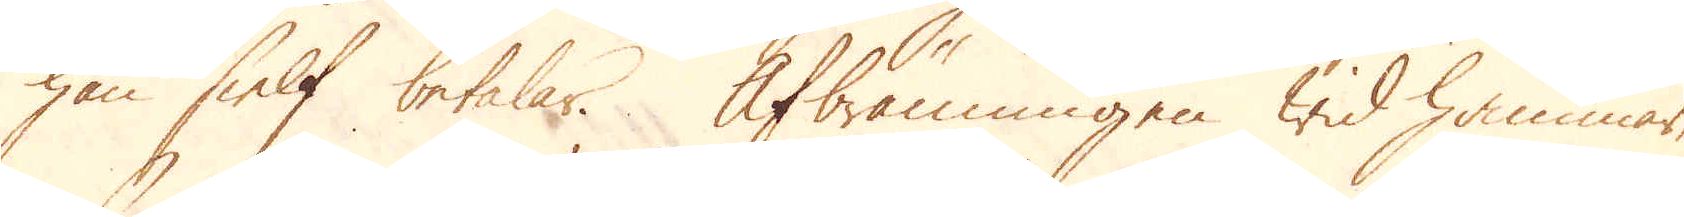han sielf betalar. Afbränningen wid hammar-
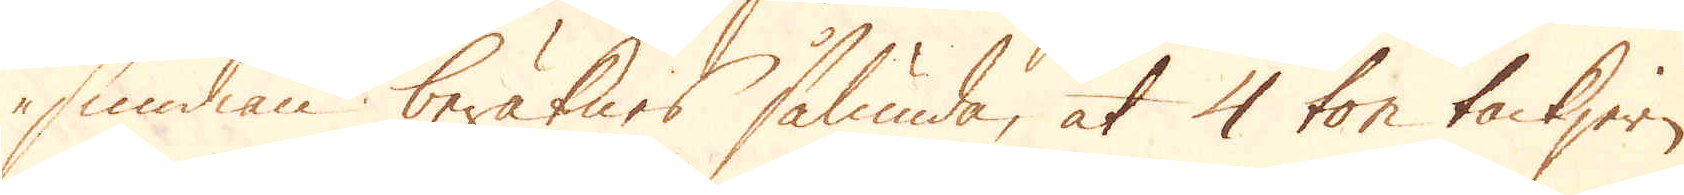smidian beräknes sålunda, at 4 ton tackjern
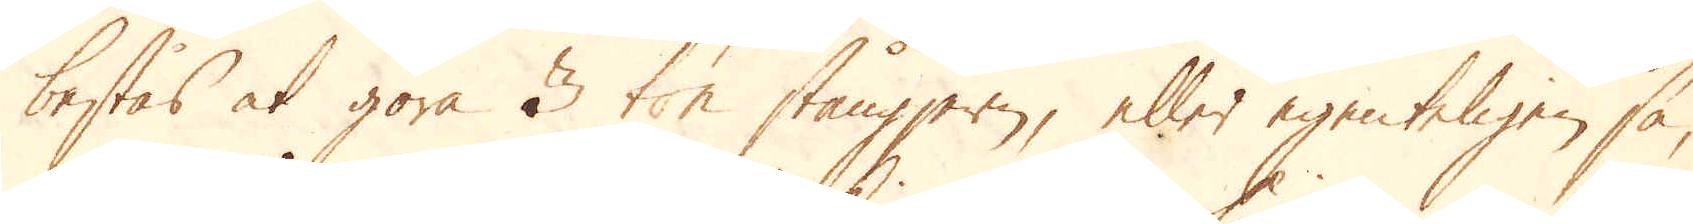bestås at göra 3 ton stångjern, eller egenteligen så,
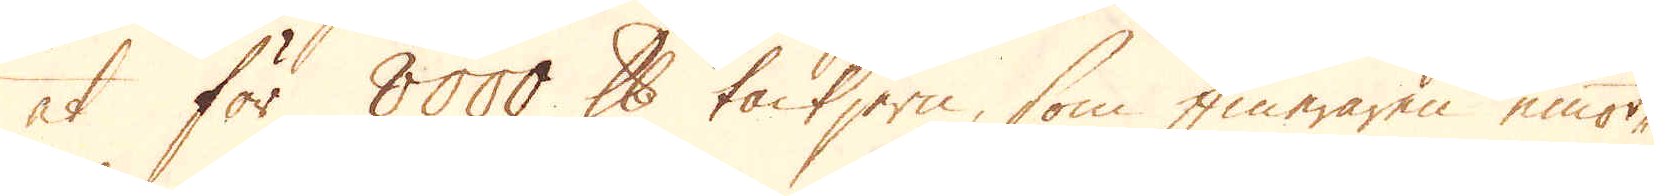at för 8000 skålpund tackjern, som fineraren emot-
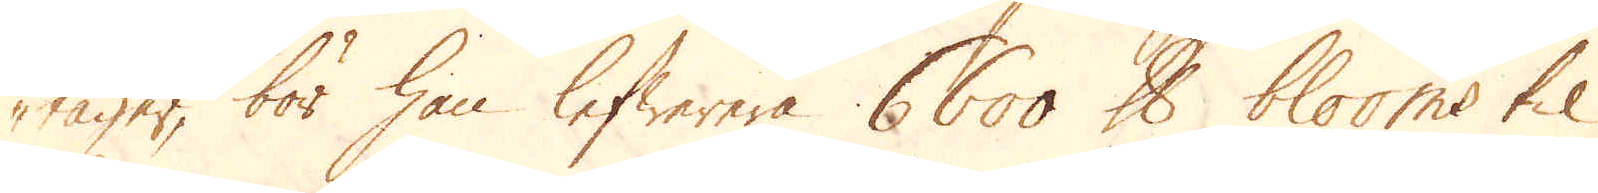tager, bör han lefwerera 6600 skålpund blooms til
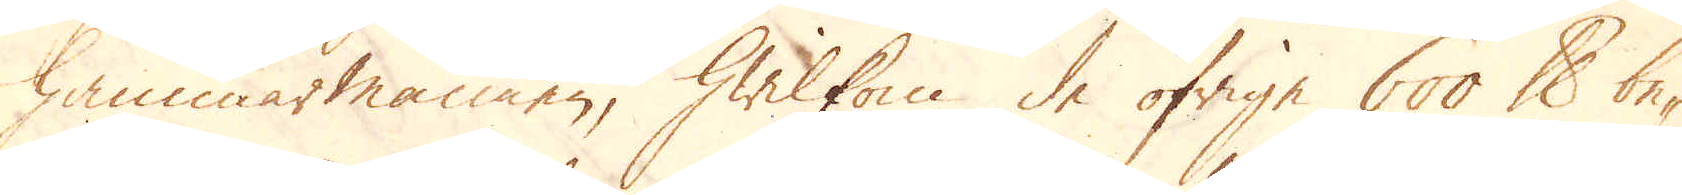hammarmannen, hwilkom de öfrige 600 skålpunden be-
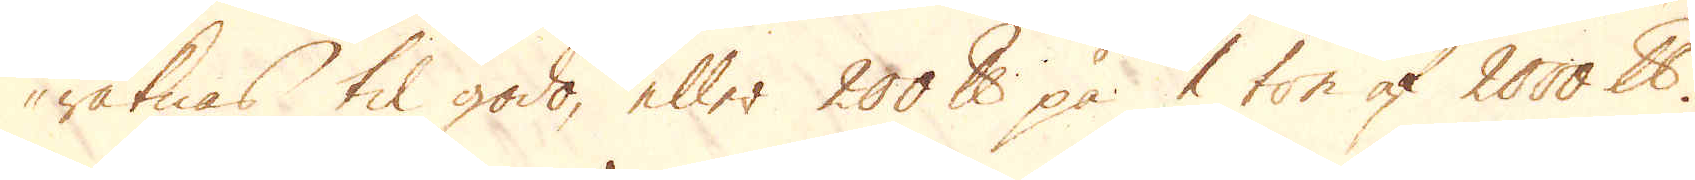räknas til godo eller 200 skålpund på 1 ton af 2000 skålpund.
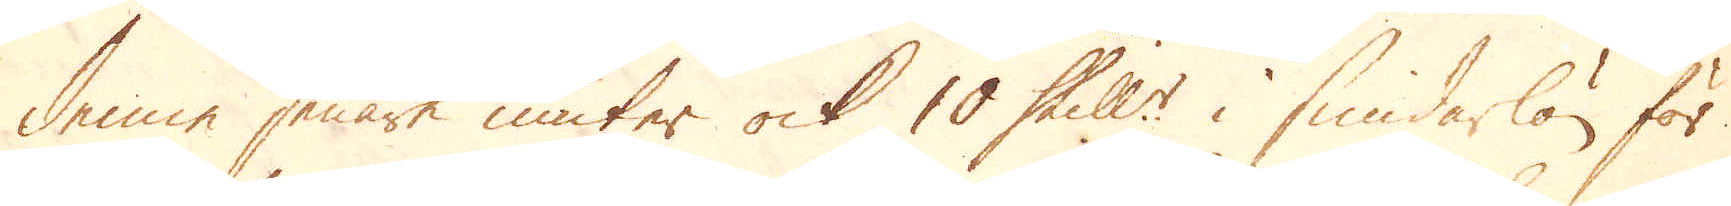Denne senare niuter ock 10 Skill:r i smidarlön för
